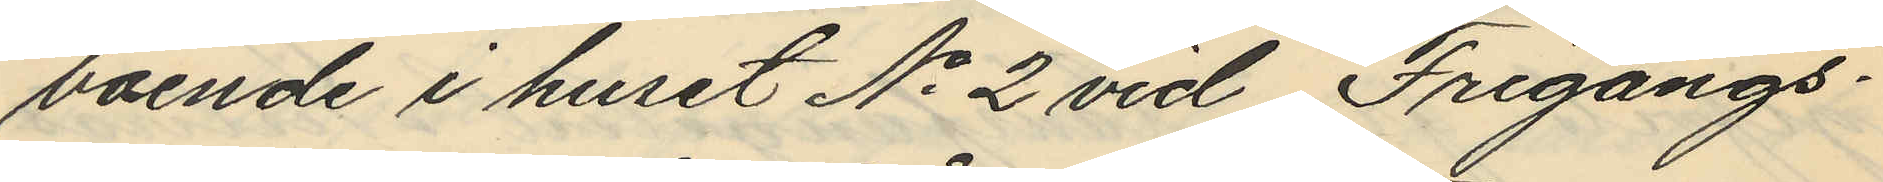boende i huset No 2 vid Frigångs¬
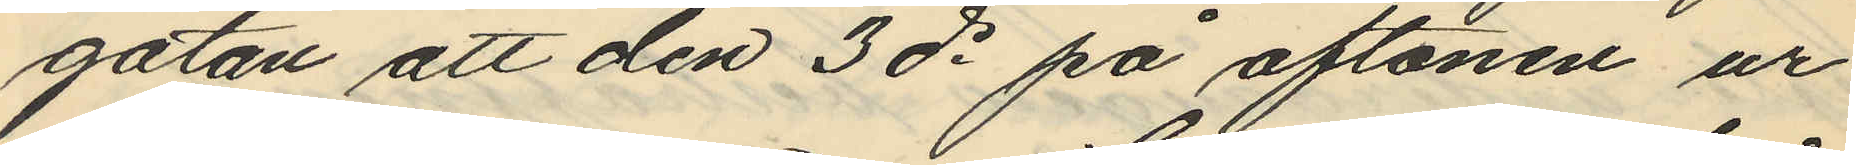gatan att den 3 ds på aftonen ur
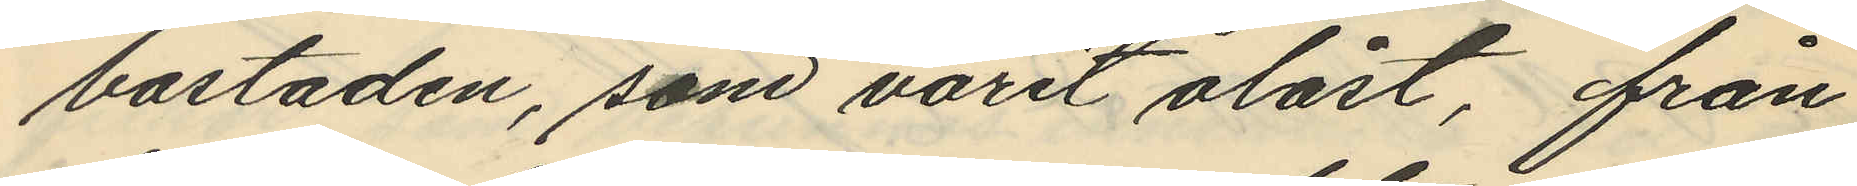bostaden, som varit olåst, från
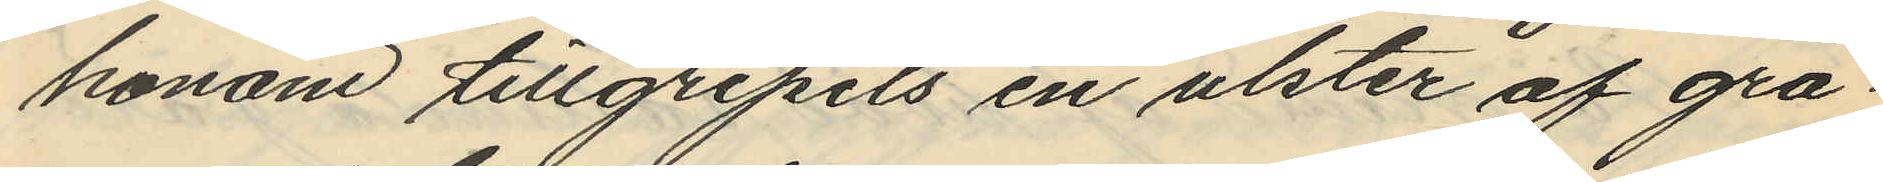honom tillgripits en ulster af grå¬
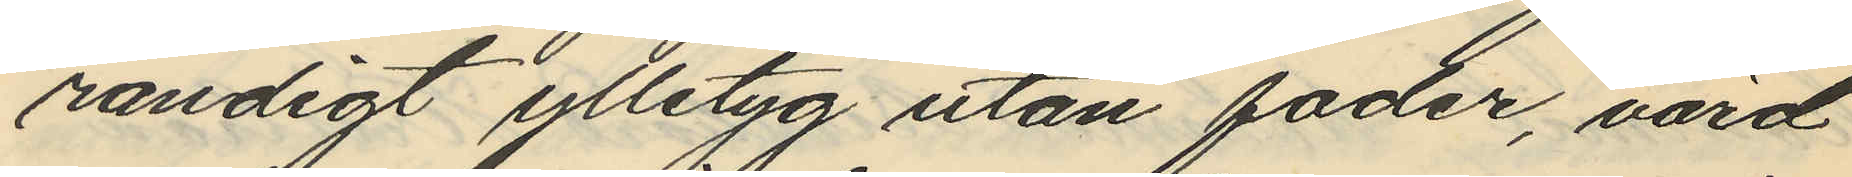randigt ylletyg utan foder, värd
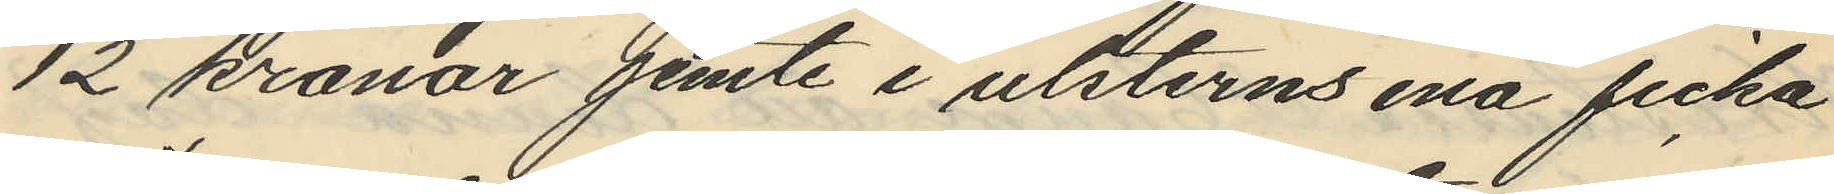12 kronor jemte i ulsterns ena ficka
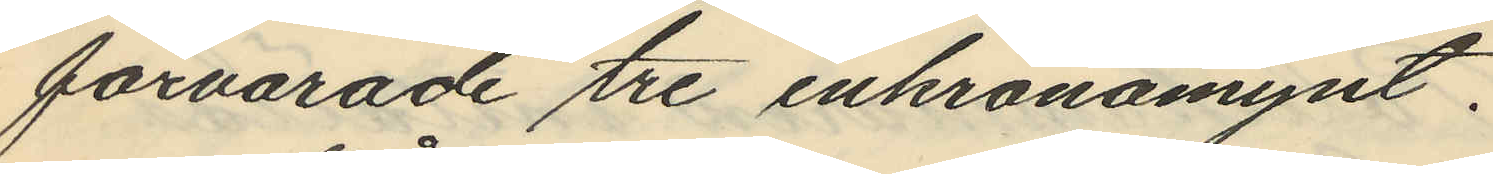förvarade tre enkronomynt.
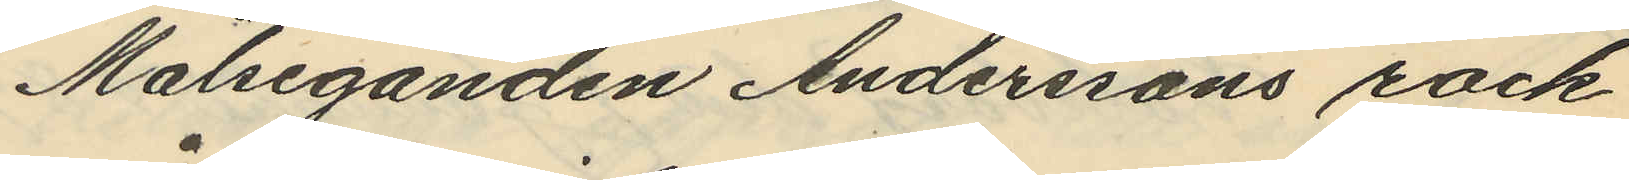Målseganden Anderssons rock
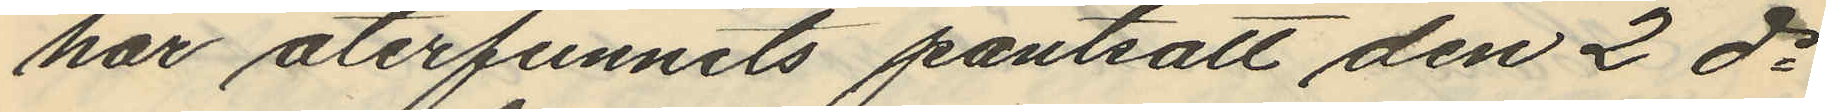har återfunnits pantsatt den 2 ds
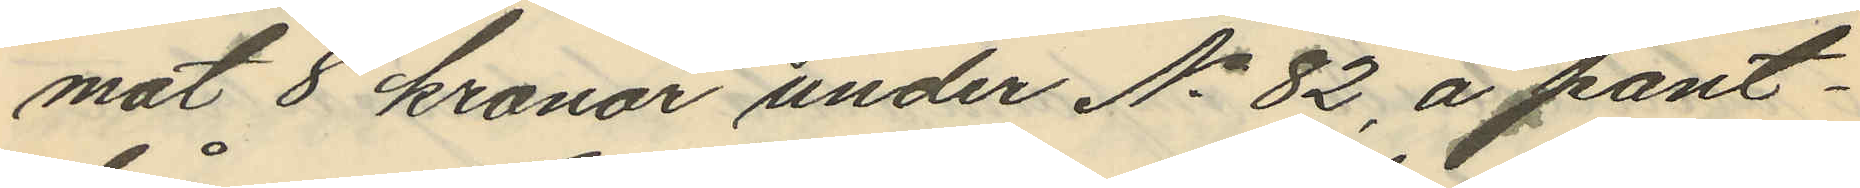mot 8 kronor under No 82, å pant¬
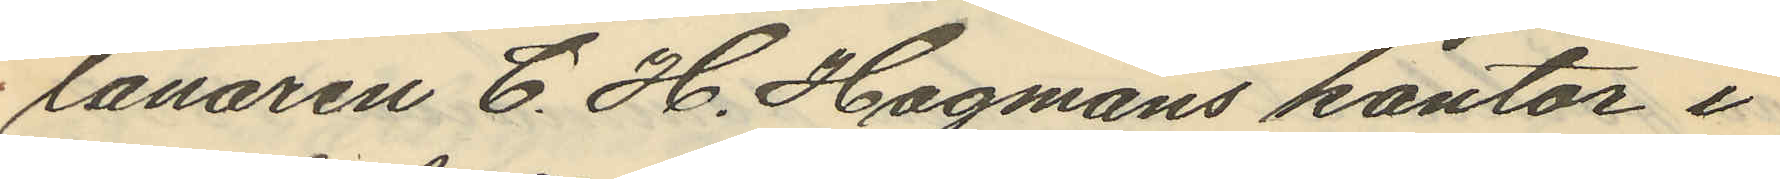lånaren C. H. Hagmans kontor i
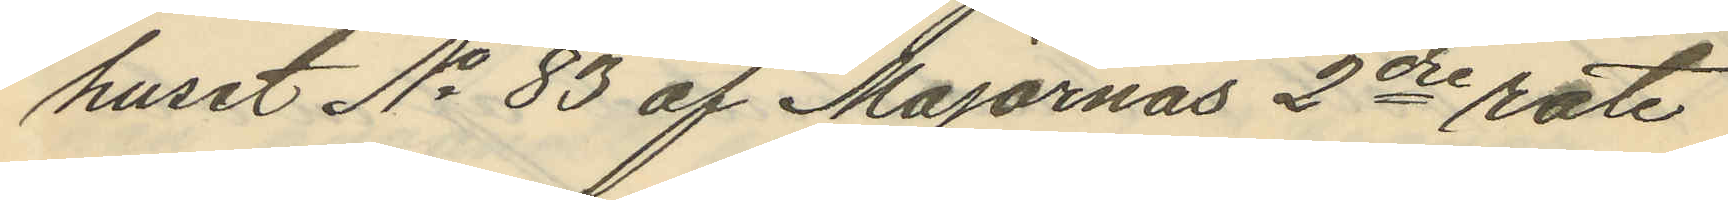huset No 83 af Majornas 2dre rote
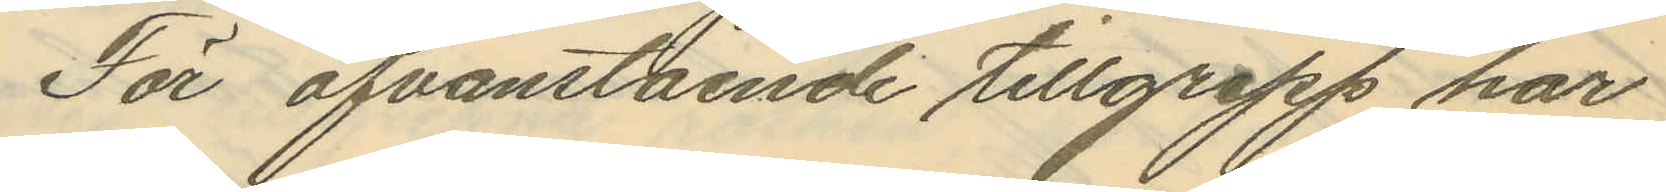För ofvanstående tillgrepp har
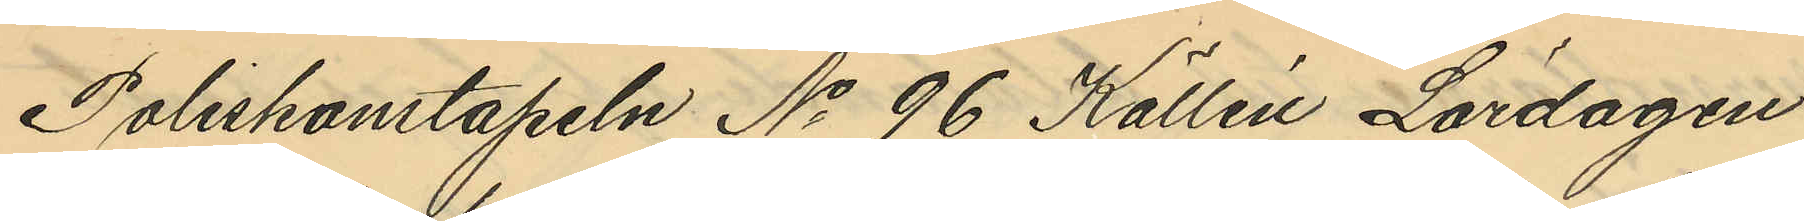Poliskonstapeln No 96 Källén Lördagen
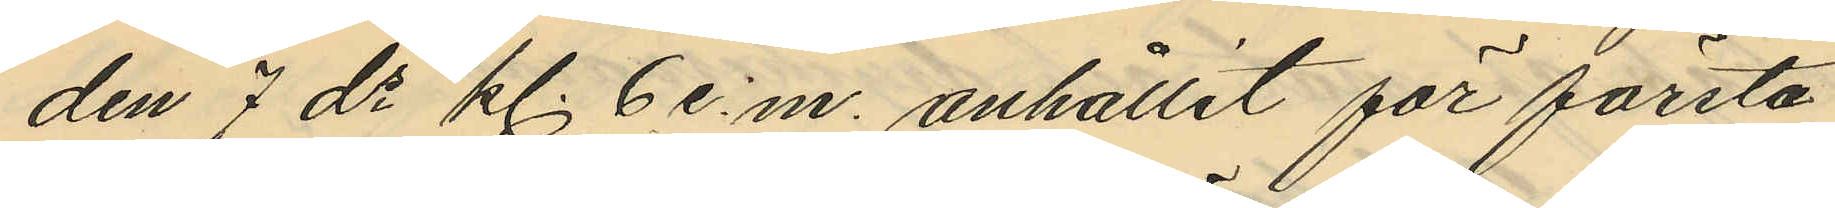den 7 ds kl. 6 e.m. anhållit för första
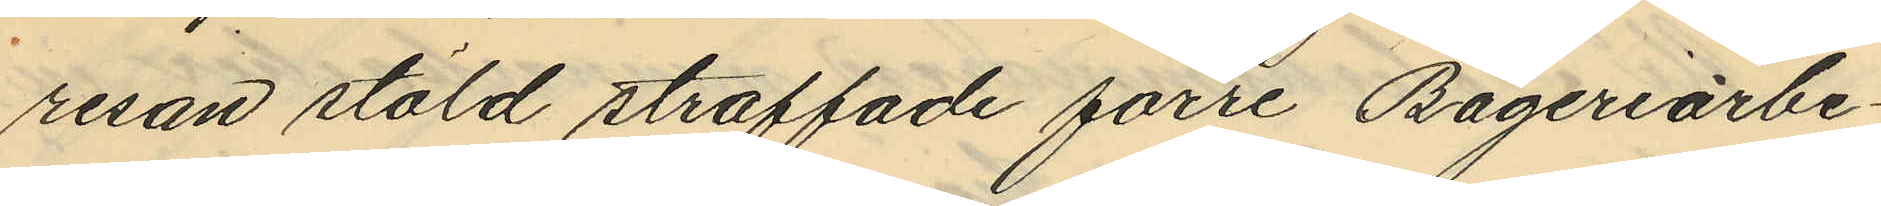resan stöld straffade förre Bageriarbe¬
